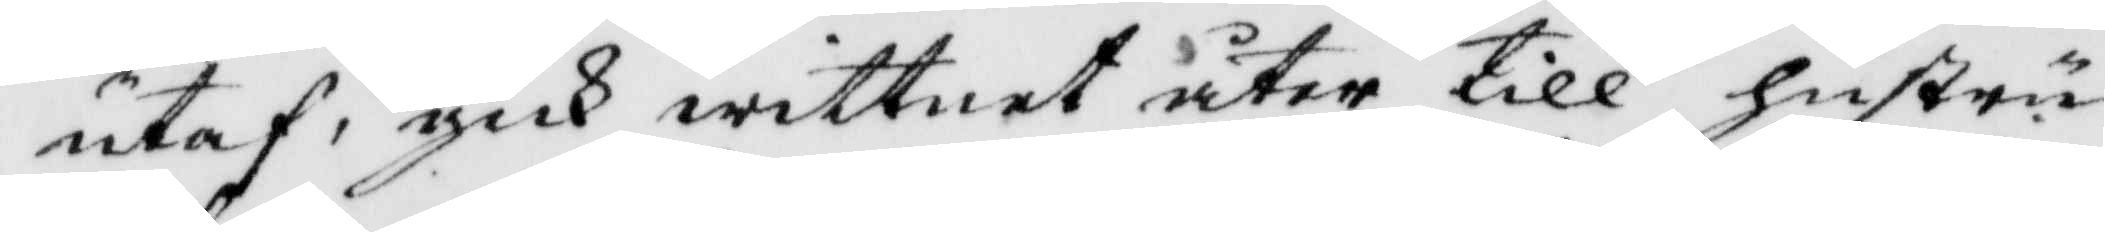utaf, gick wittnet åter till hustru
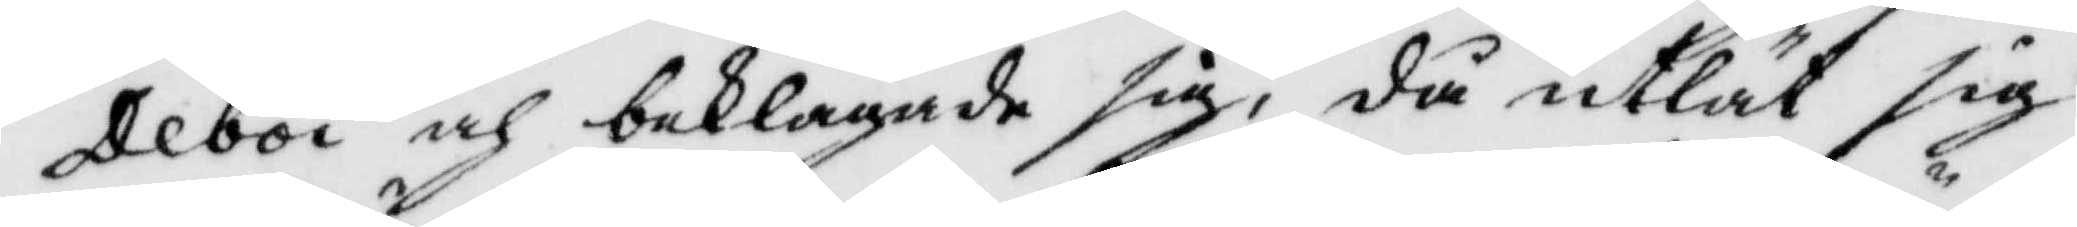Deboi och beklagade sig, då utlät sig
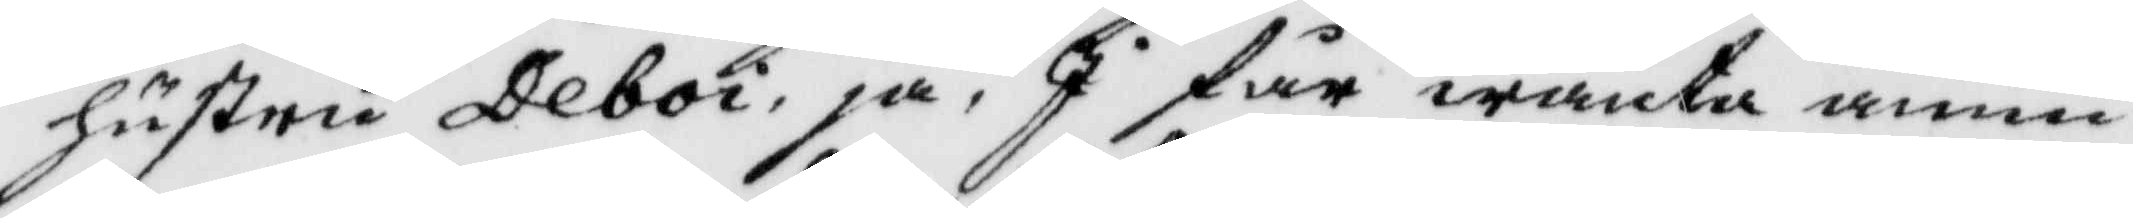hustru Deboi, ja, J får wänta ännu
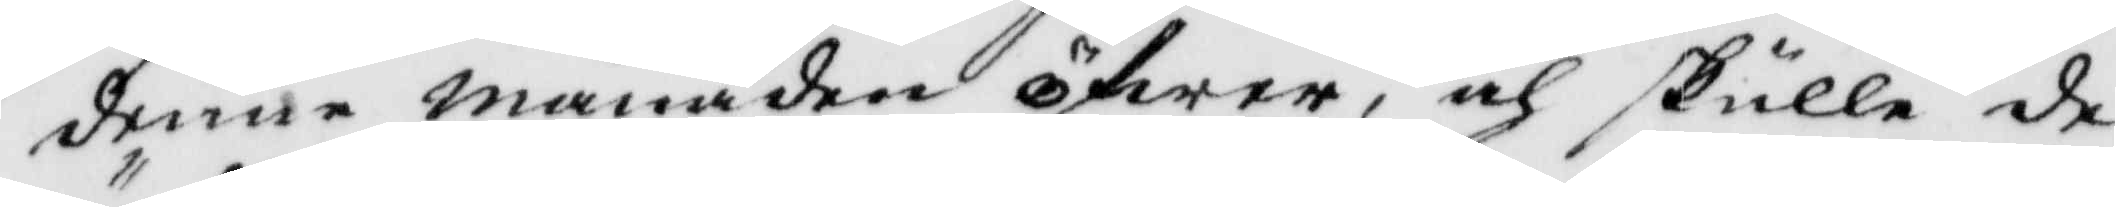denne månaden öfwer, och skulle de
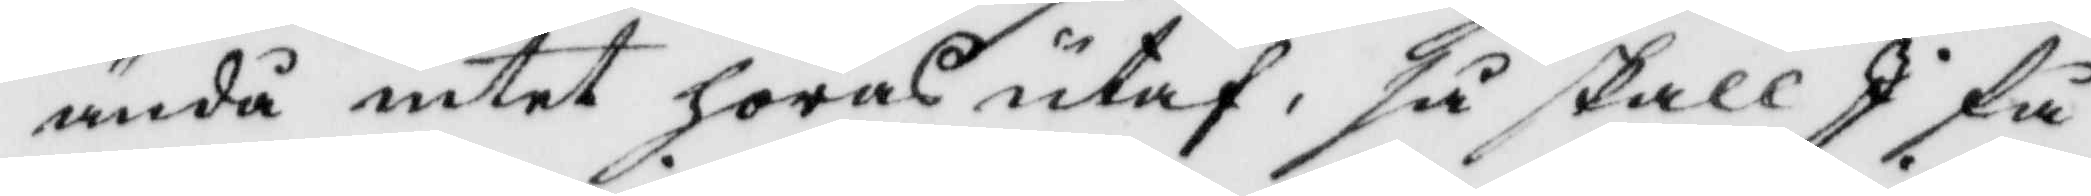ändå intet höras utaf, så skall J få
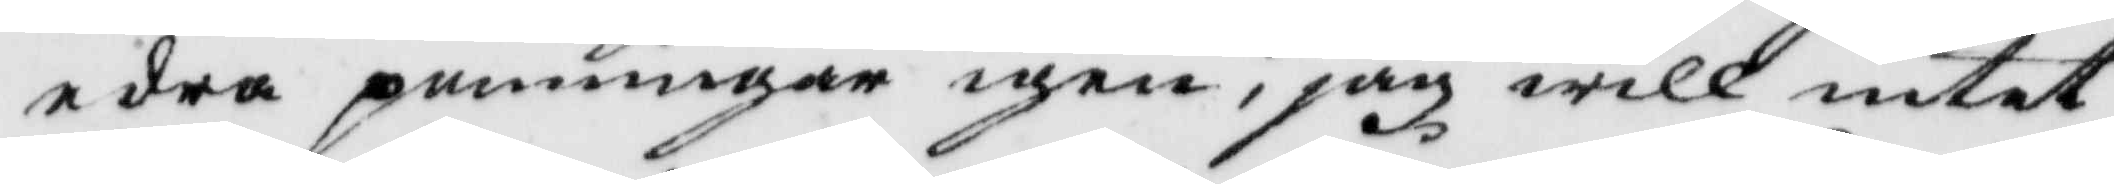edra penningar igen, jag will intet
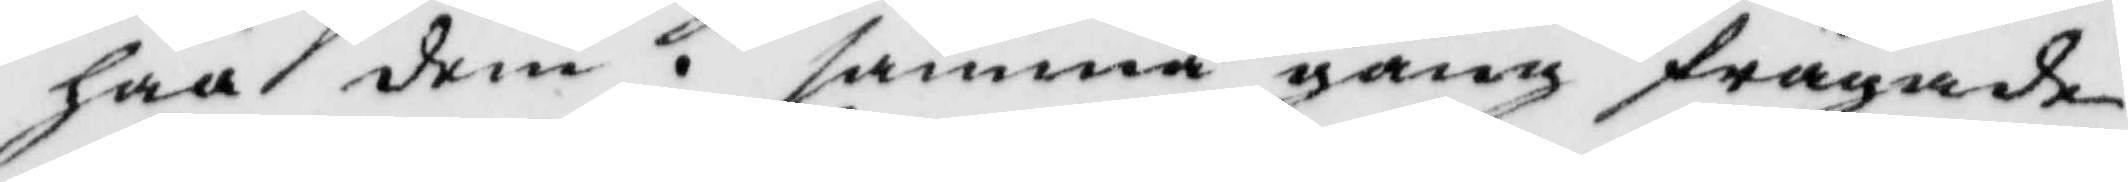haa dem. samma gång frågade
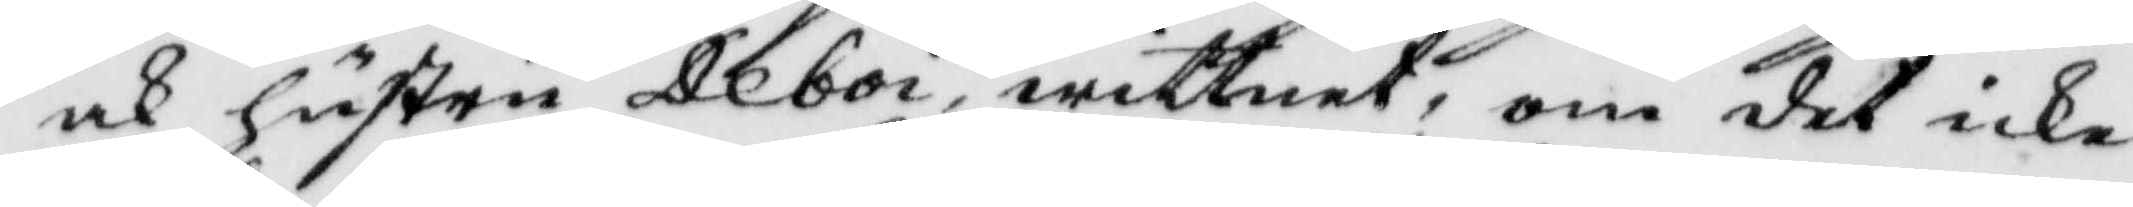och hustru Deboi, wittnet, om det icke
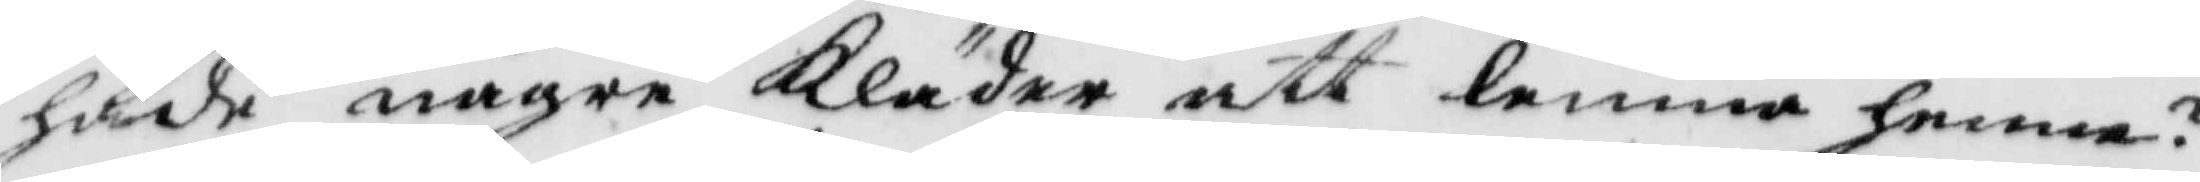hade några Kläder att lemna henne?
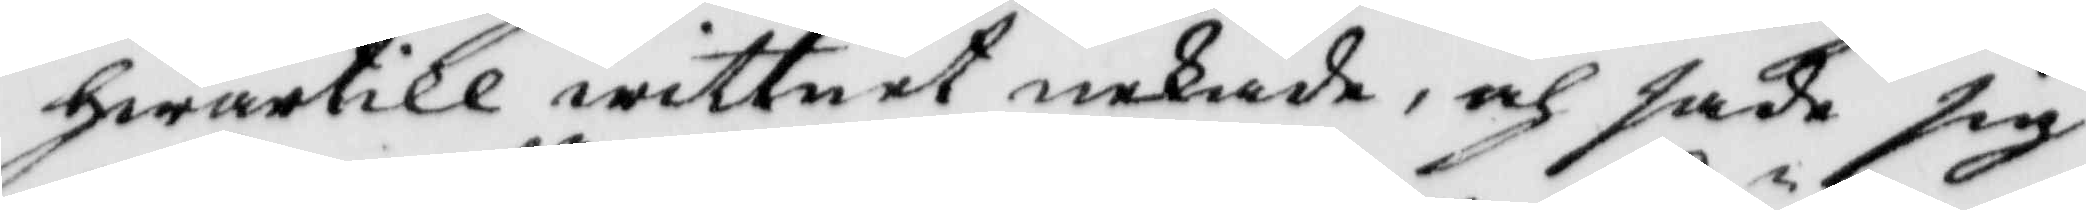hwartill wittnet nekade, och sade sig
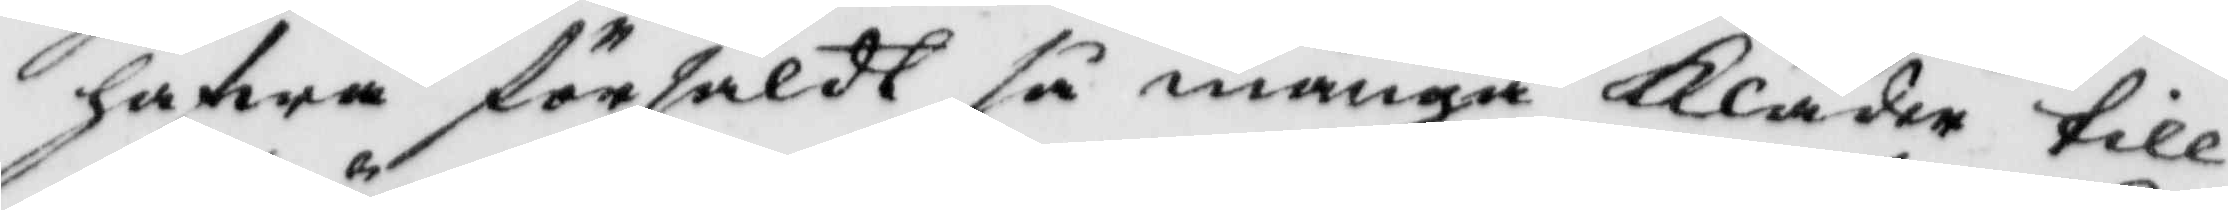hafwa försåldt så många Kläder till
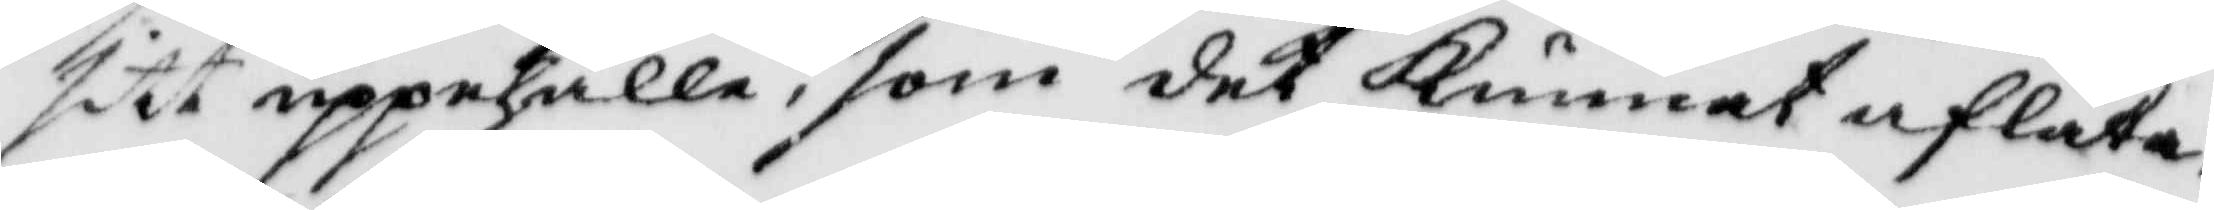sitt uppehälle, som det Kunnat aflåta,
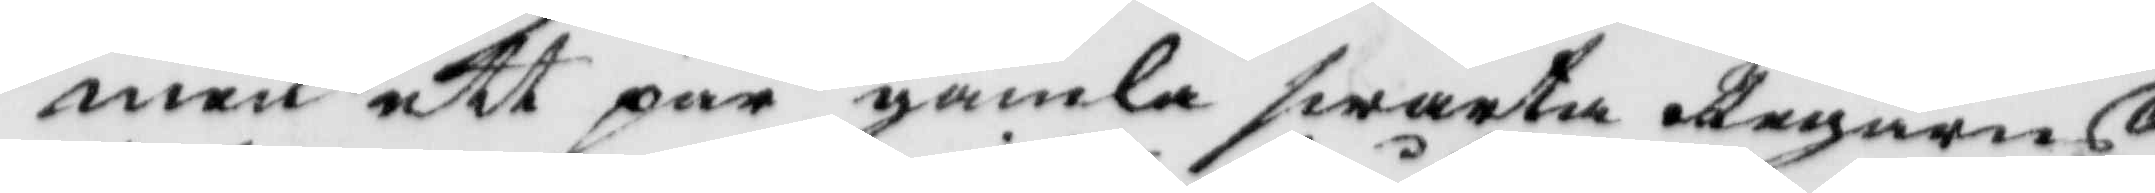men ett par gamla swarta Regarns¬
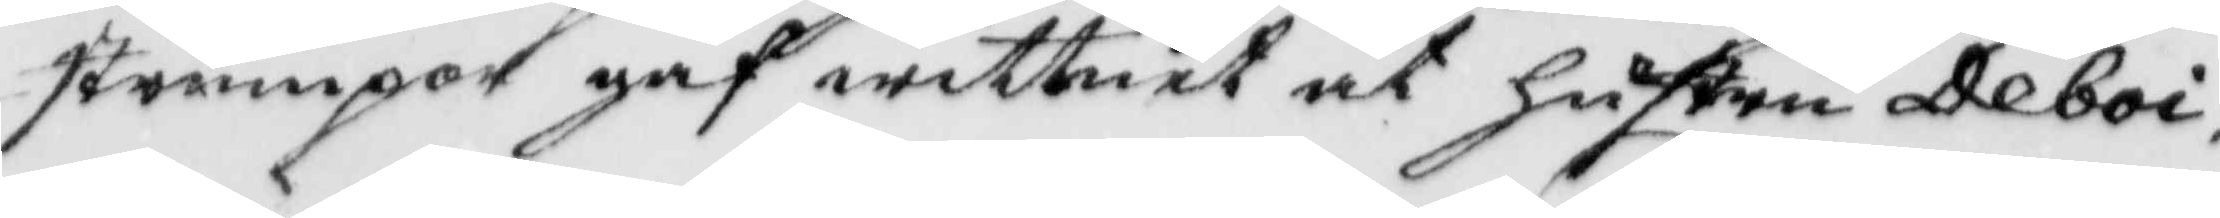strumpor gaf wittnet åt hustru Deboi
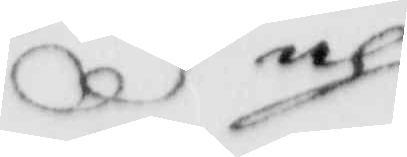och
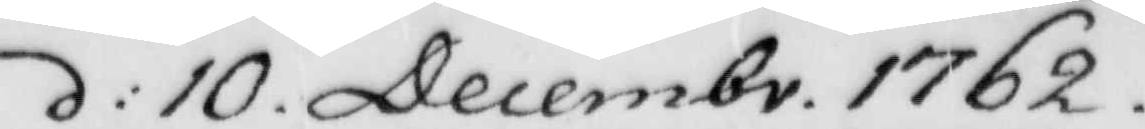d: 10. Decembr. 1762.
